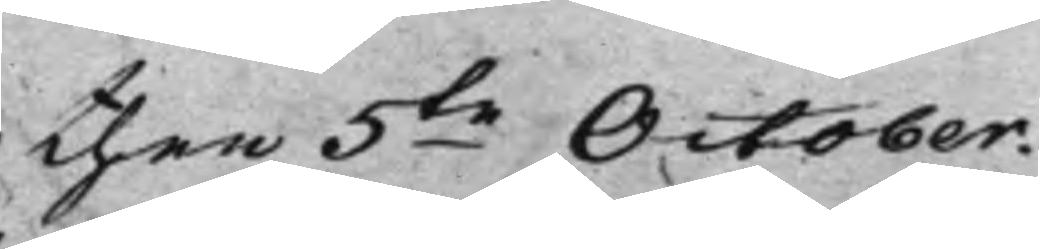then 5te October.
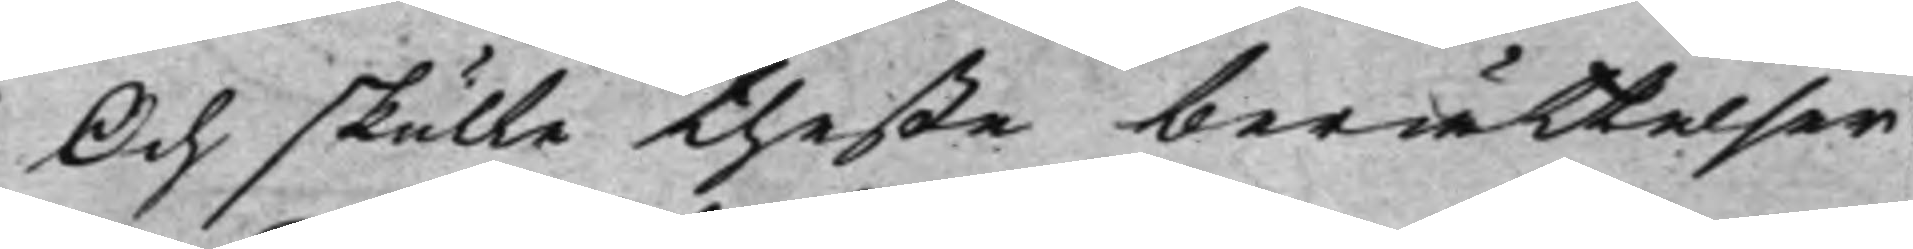Och skulle theße berättelser
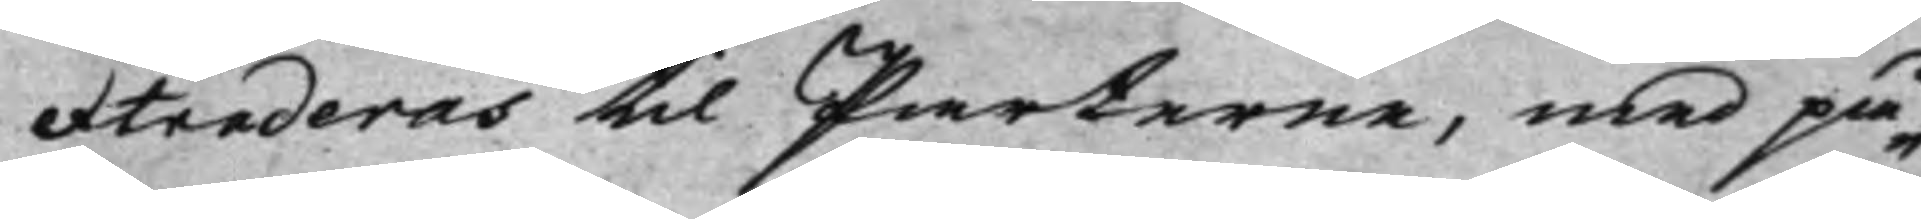extraderas til Parterne, med på¬
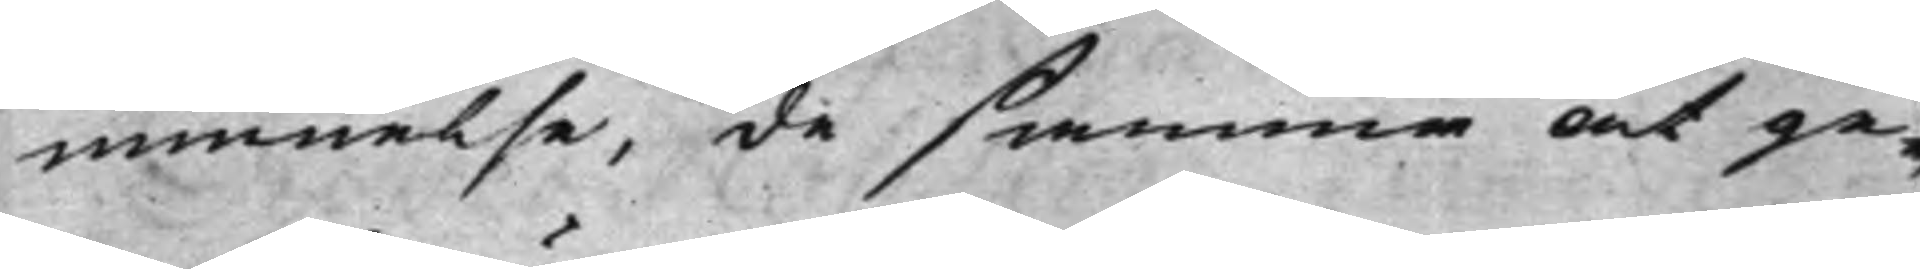minnelse, de samma at ge¬
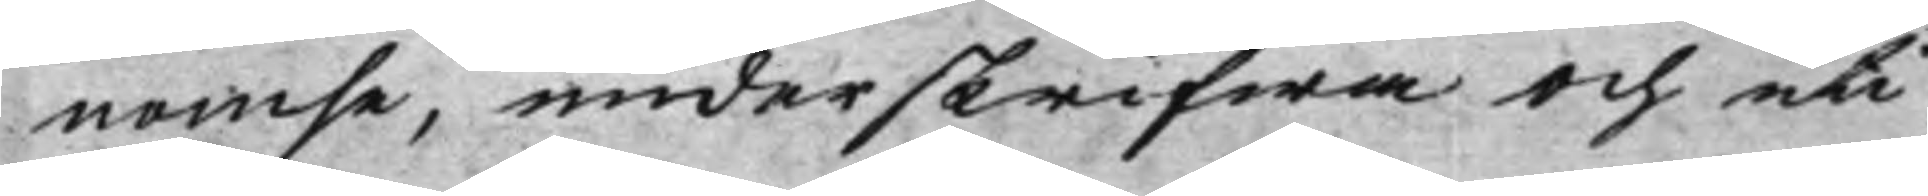nomse, underskrifwa och uti
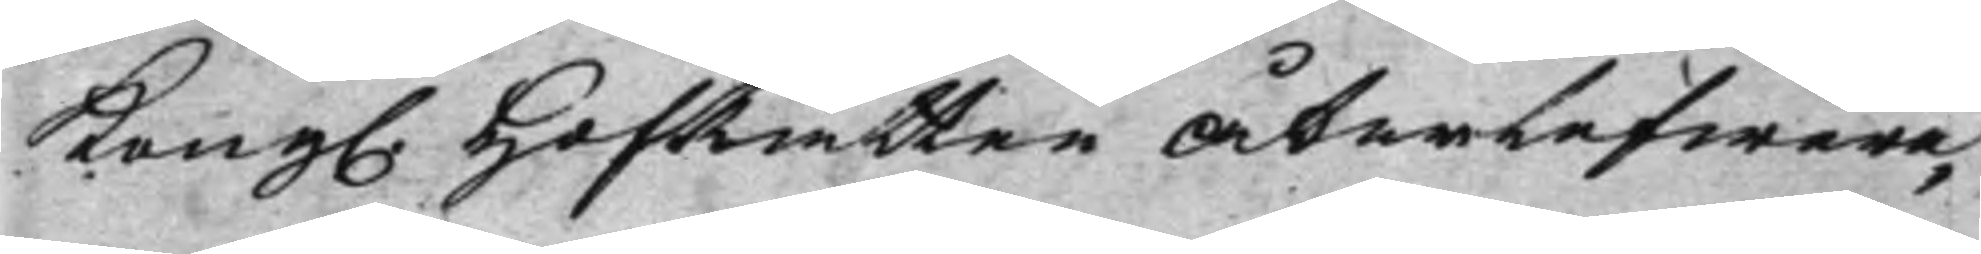Kong. HofRätten återlefwere¬
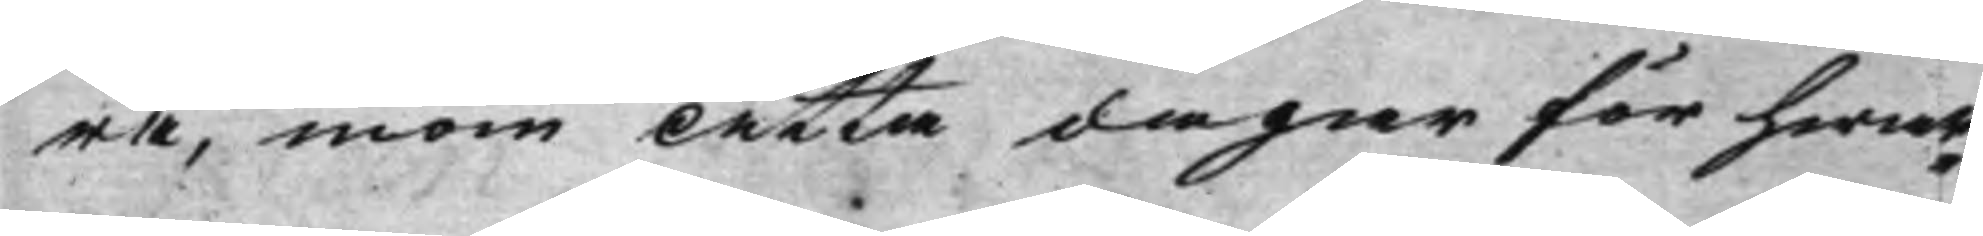ra, inom Åtta dagar för hwar¬
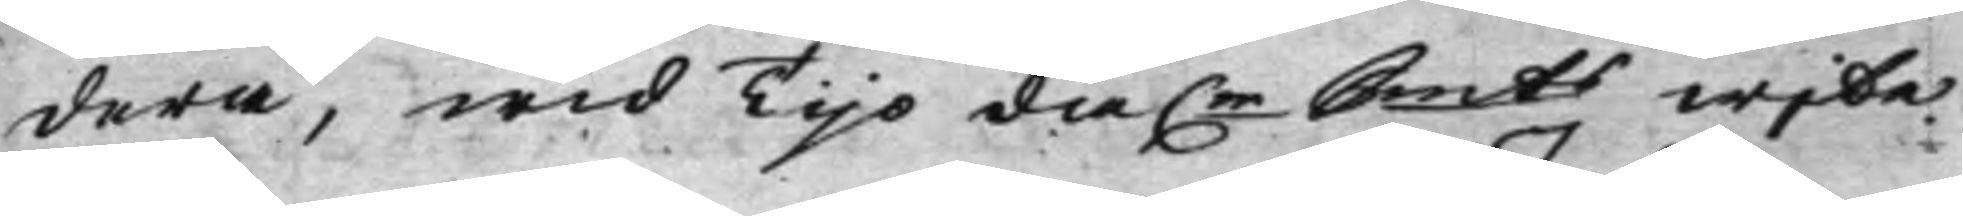dera, wid Tijo da.r Smts wite.
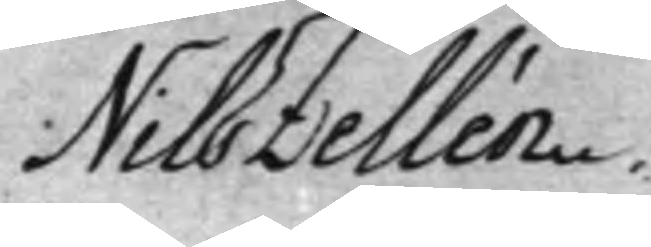Nils Zellén.
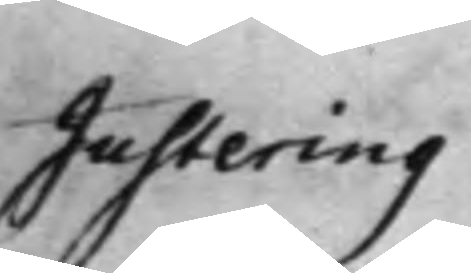Justering
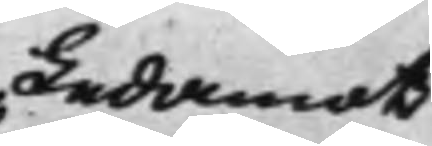Ledamot
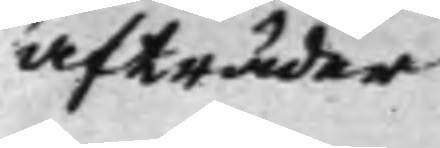afträder
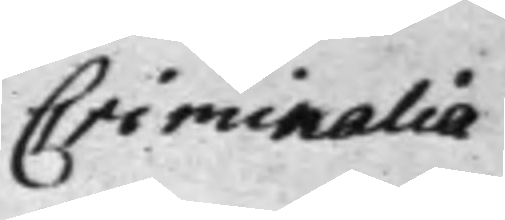Criminalia
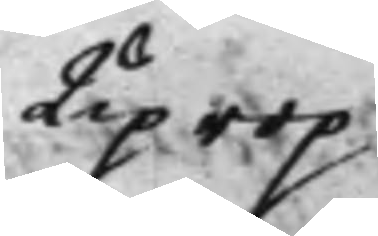Uiprop
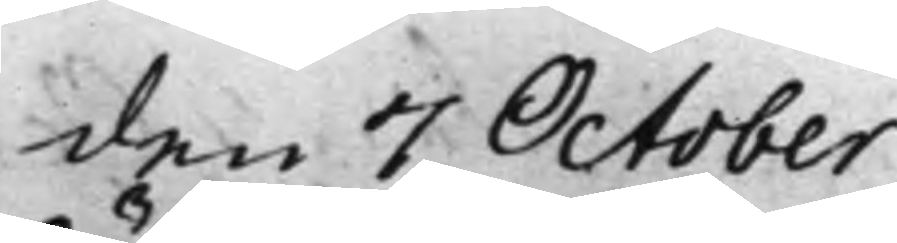den 7 October
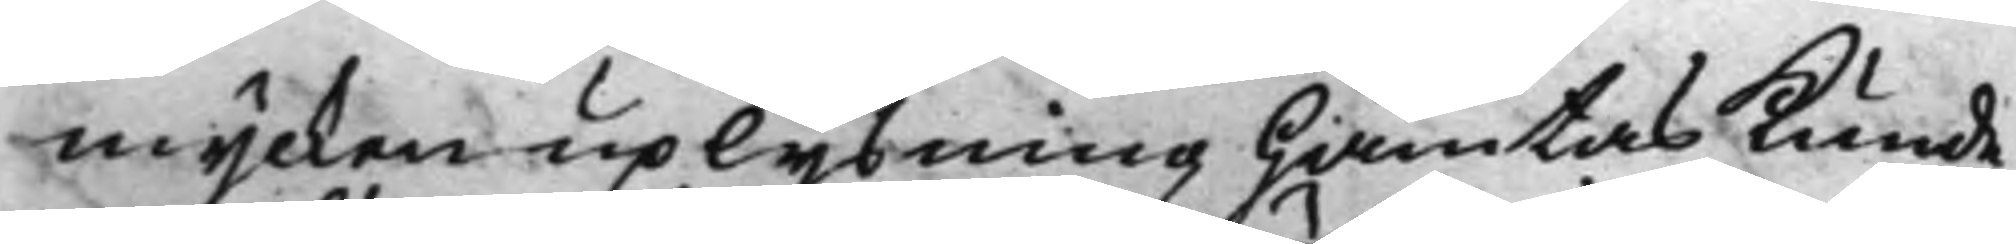mycken uplysning hämtas Kunde,
